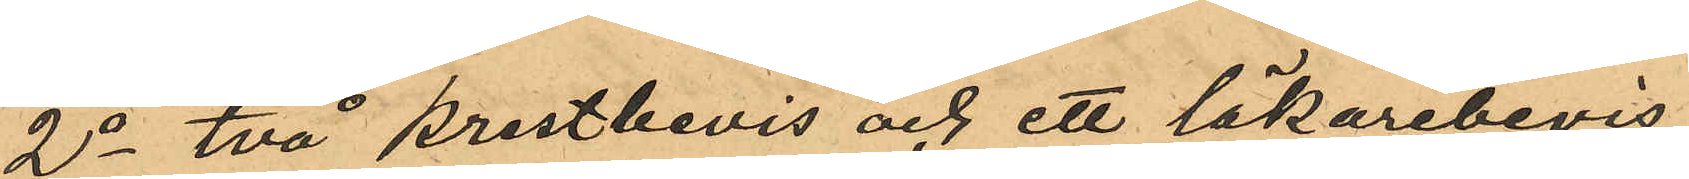2o två prestbevis och ett läkarebevis
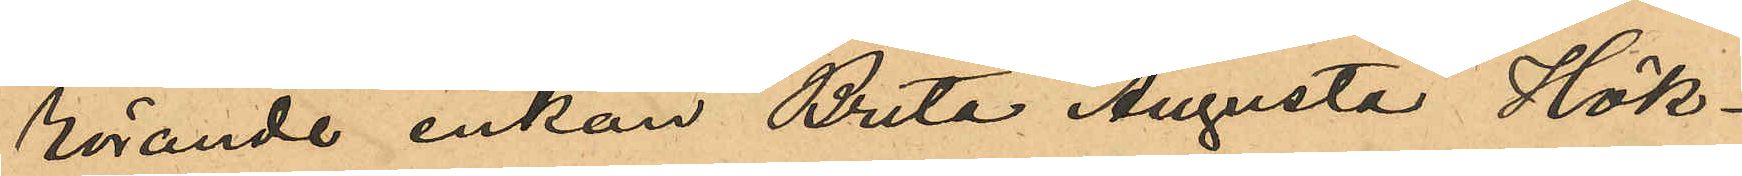rörande enkan Brita Augusta Hök¬
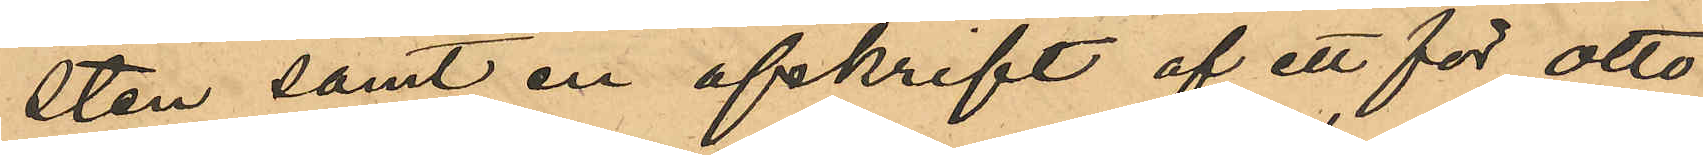sten samt en afskrift af ett för Otto
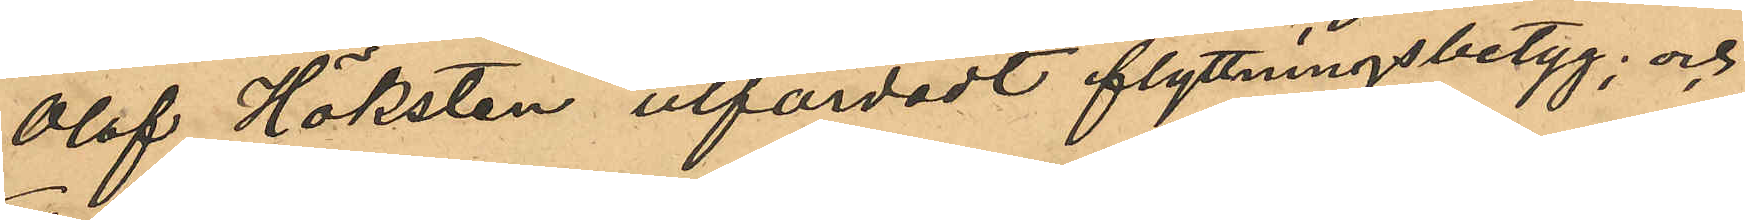Olof Höksten utfärdadt flyttningsbetyg; och
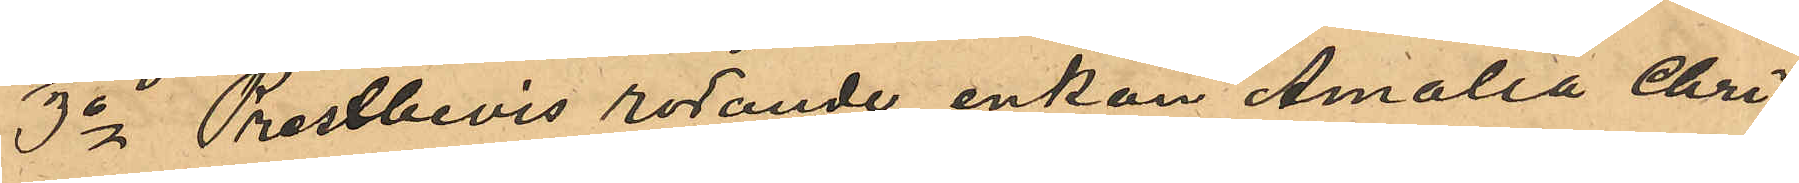3o Prestbevis rötande enkan Amalia Chri¬
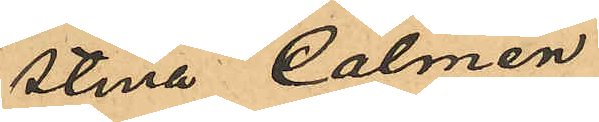stina Calmén.
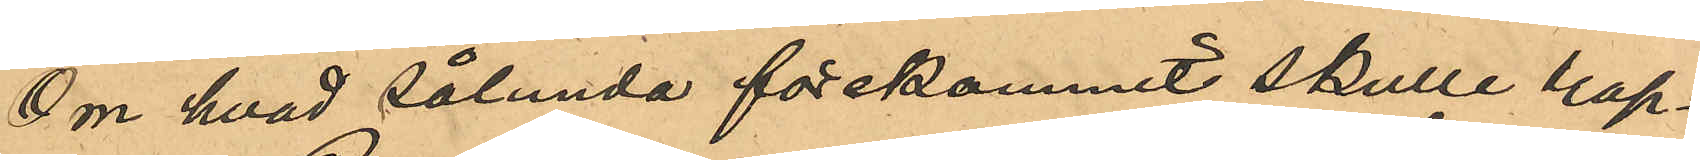Om hvad sålunda förekommit skulle rap¬
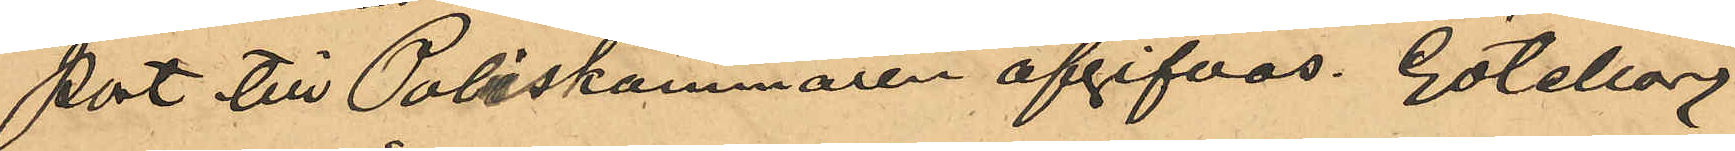port till Poliskammaren afgifvas. Göteborg
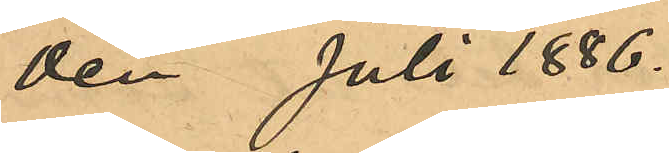den  Juli 1886.
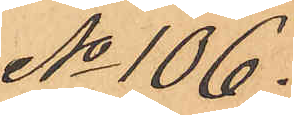No 106 
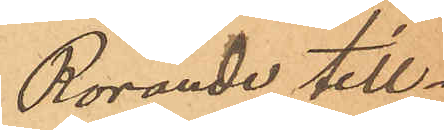Rörande till¬
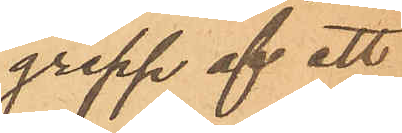grepp af ett
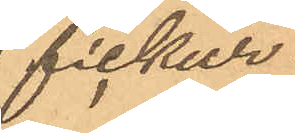fickur
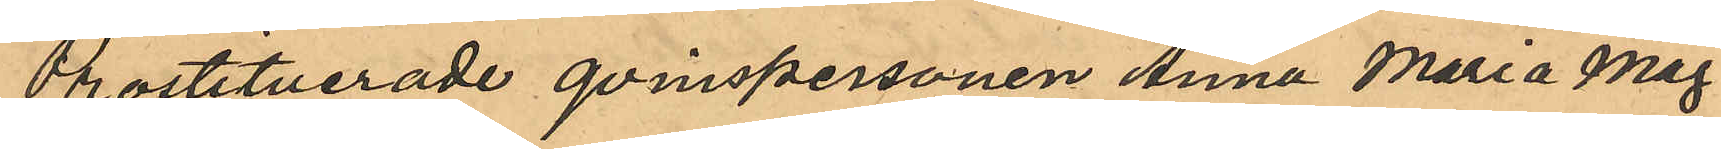Prostituerade qvinspersonen Anna Maria Mag¬
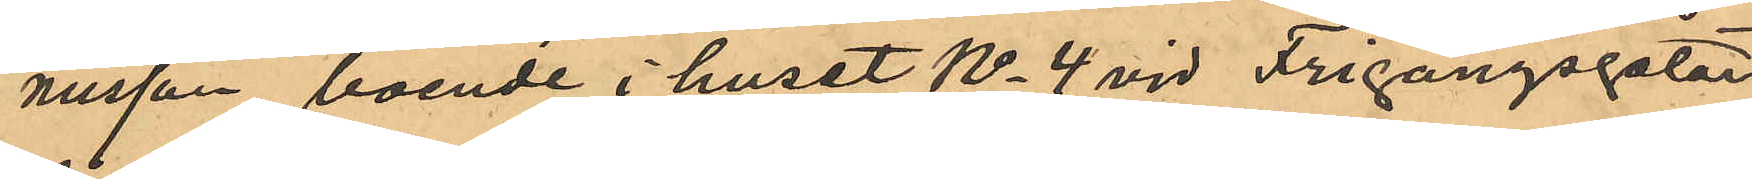nusson, boende i huset No 4 vid Frigångsgatan
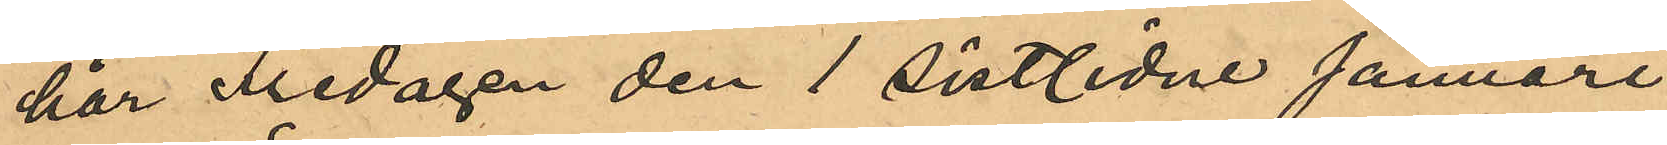har Fredagen den 1 sistlidne Januari
